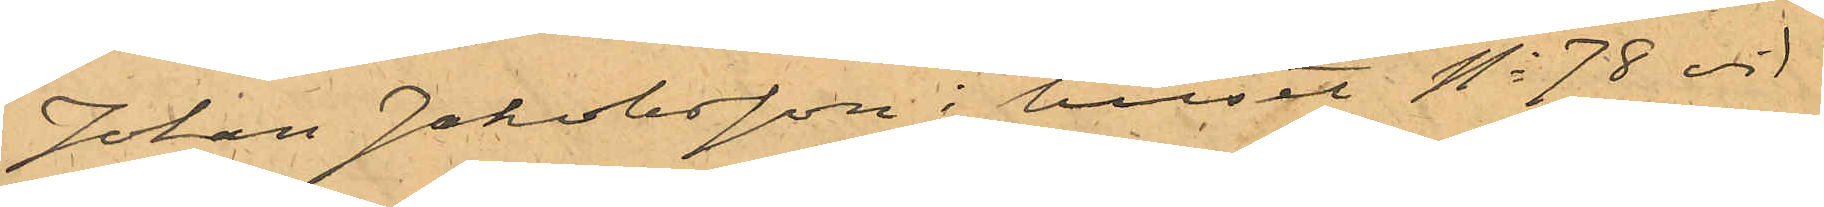Johan Jakobsson i huset No 78 vid
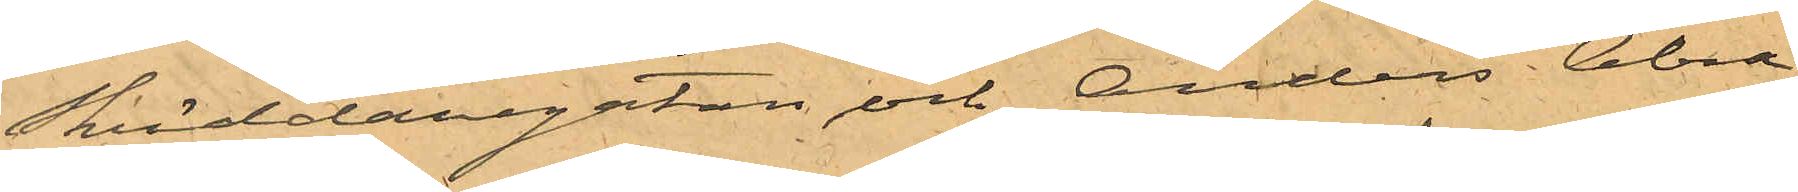Skräddaregatan och Anders Abra¬
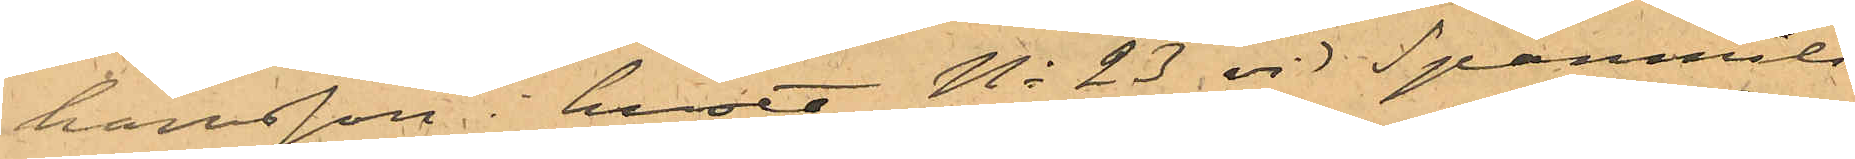hamsson i huset No 23 vid Spanmåls¬
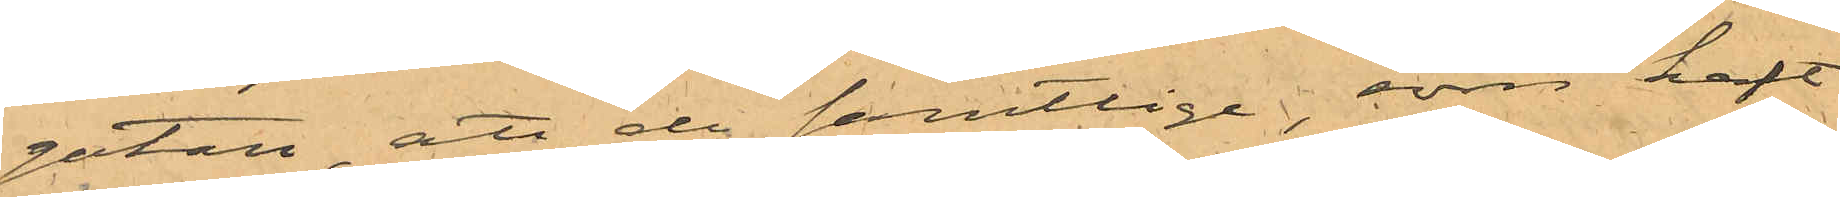gatan att de samtlige, som haft
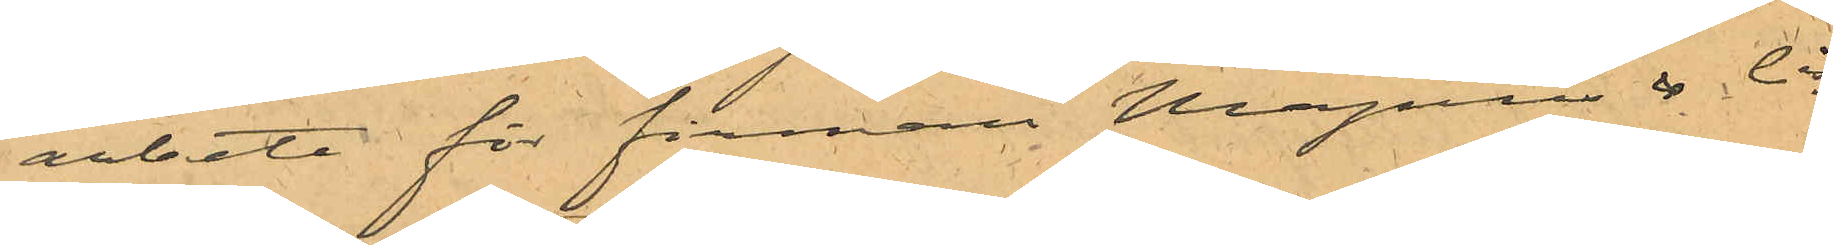arbete för firman Magnus & Ci,
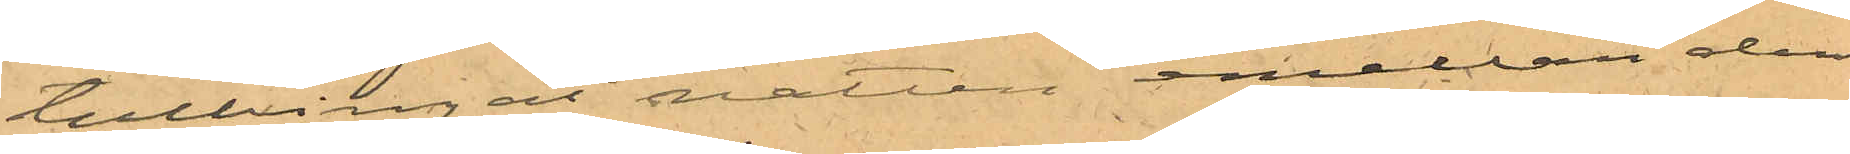tillbringat natten mellan den
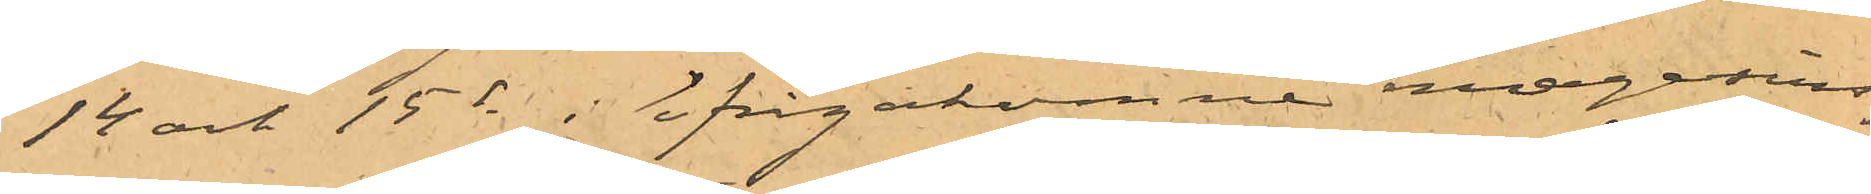14 och 15 ds i ifrågakomne magasins¬
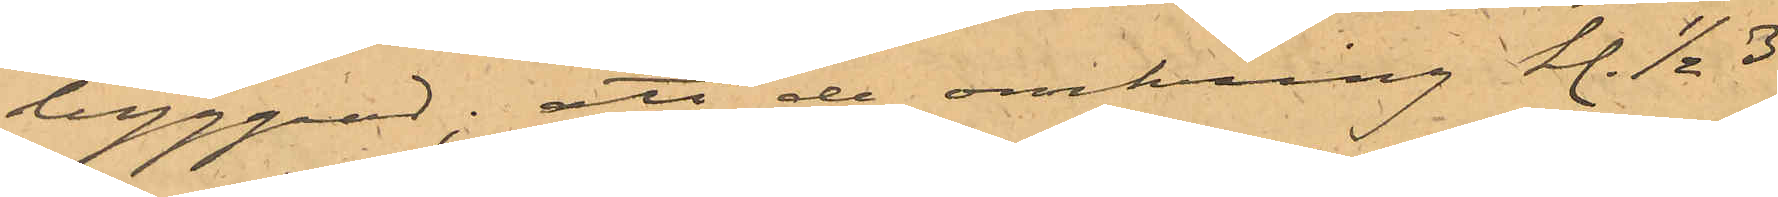byggnad; att de omkring kl. 1/2 3
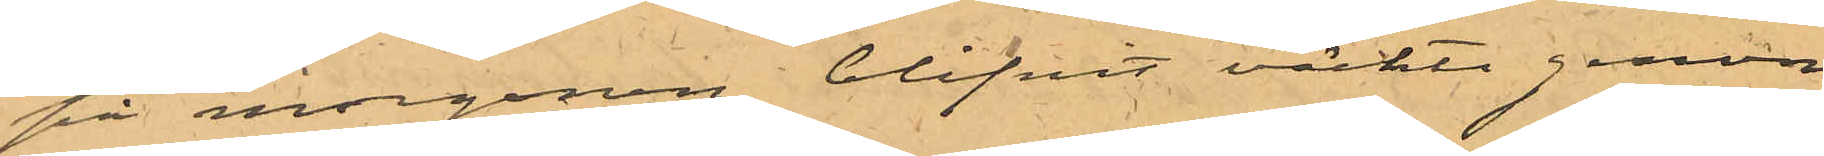på morgonen blifvit väckte genom
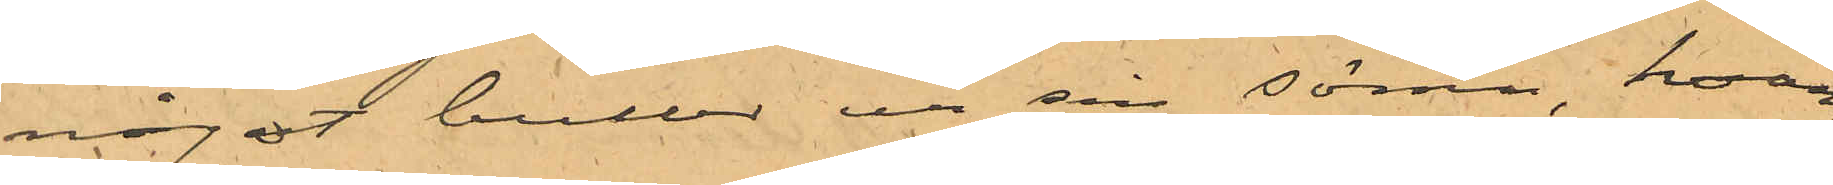något buller ur sin sömn hvar¬
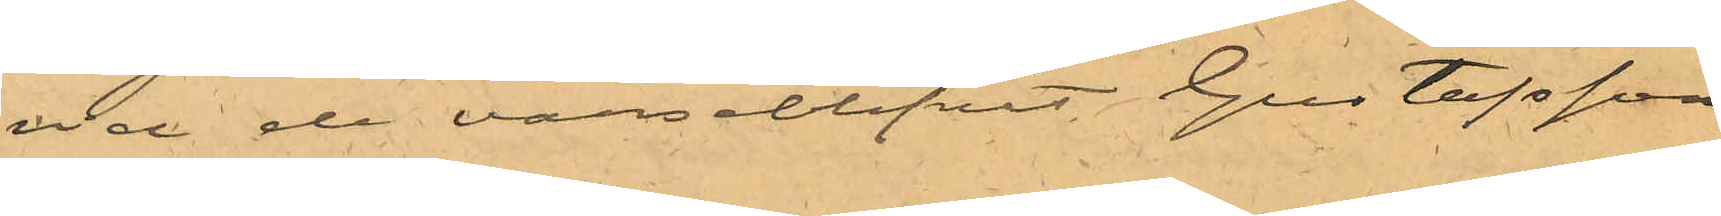vid de varseblifvit Gustafsson
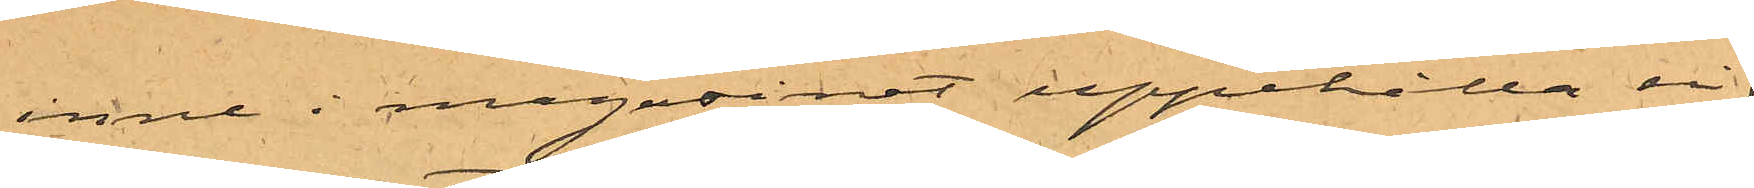inne i magasinet uppehålla sig
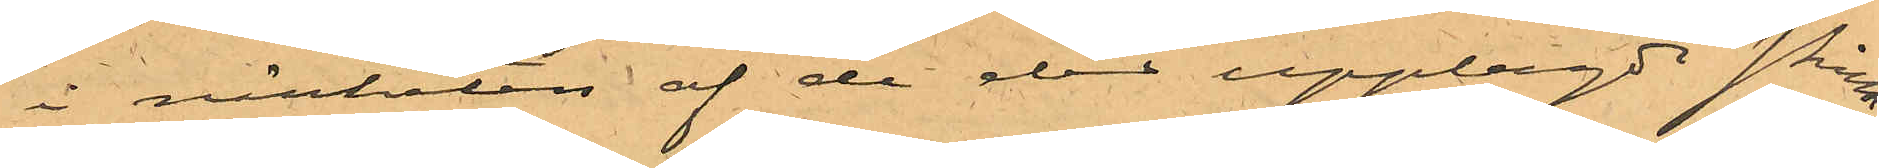i närheten af de der upplagde skinn¬
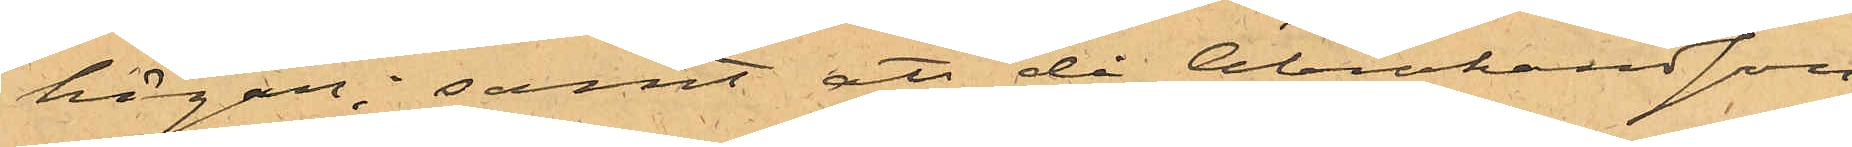högar; samt att då Abrahamsson
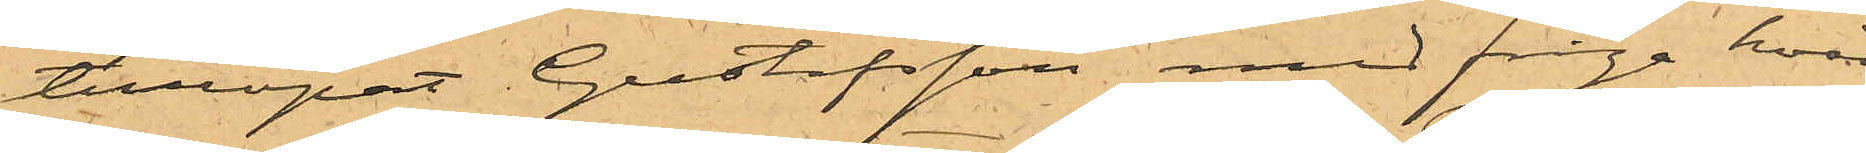tillropat Gustafsson med fråga hvad
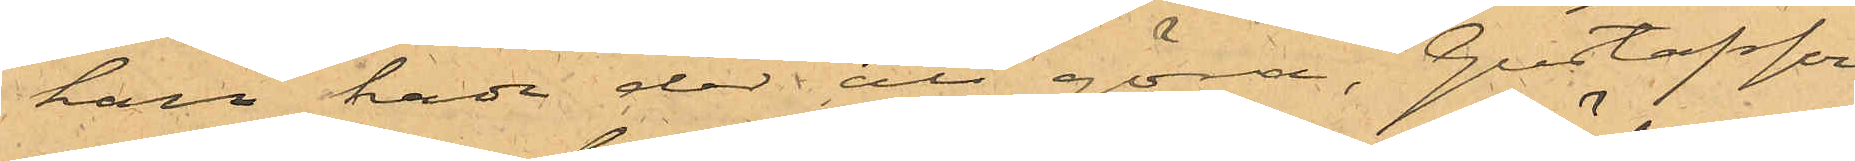han hade der att göra, Gustafsson
